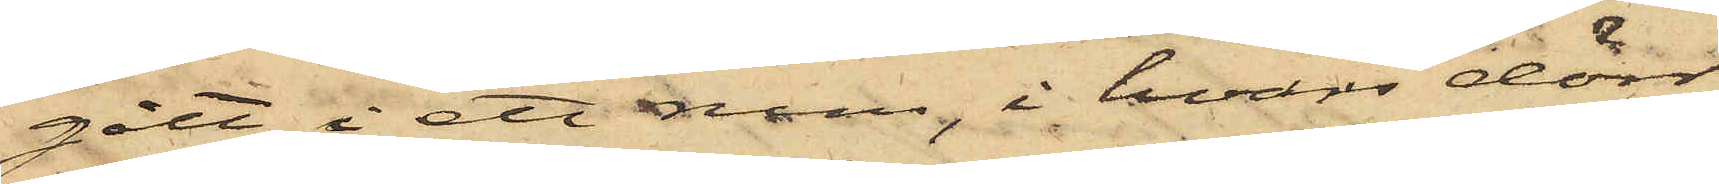gått i ett rum, i hvars dörr
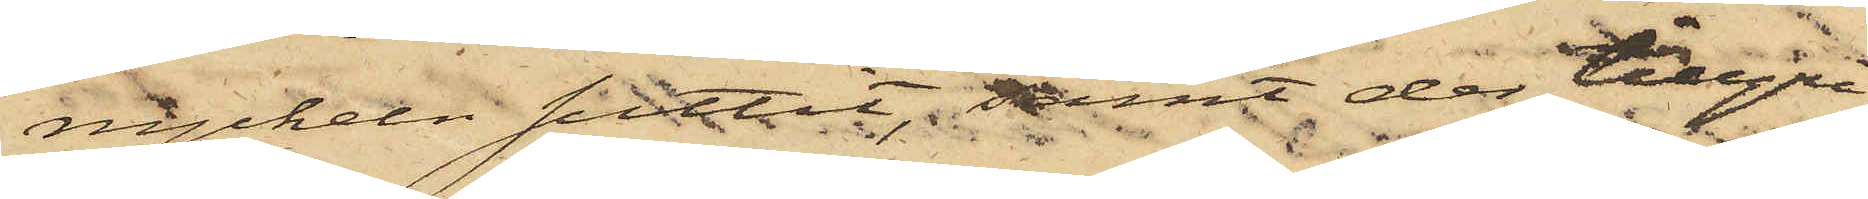nyckeln suttit; samt der tillgri¬
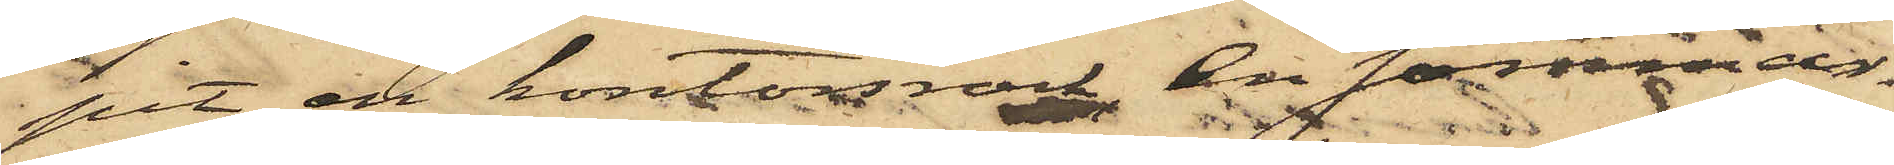pit en kontorsrock, en sommar¬
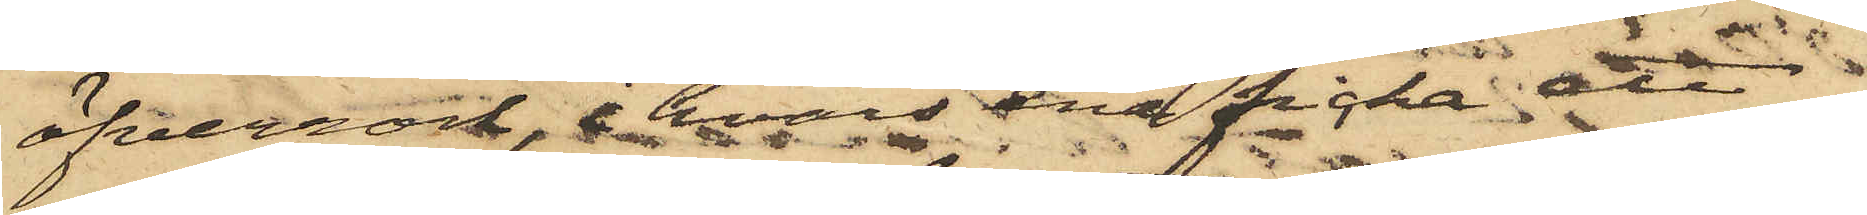öfverrock, i hvars ena ficka ett
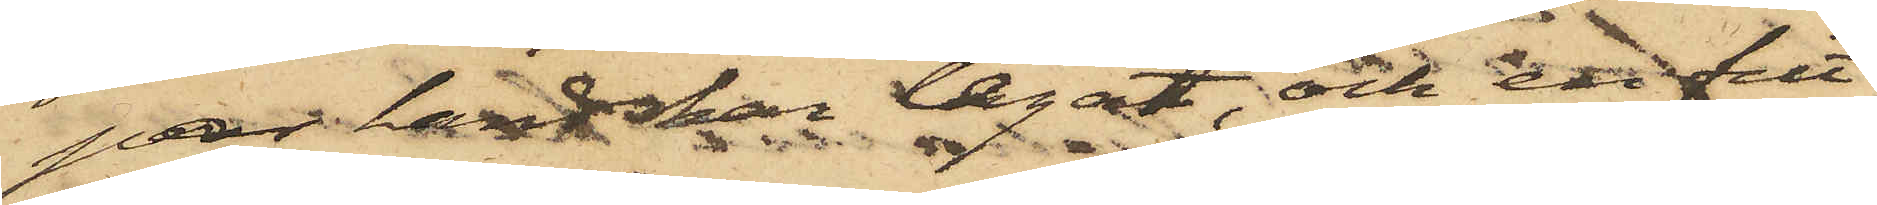par handskar legat, och en filt¬
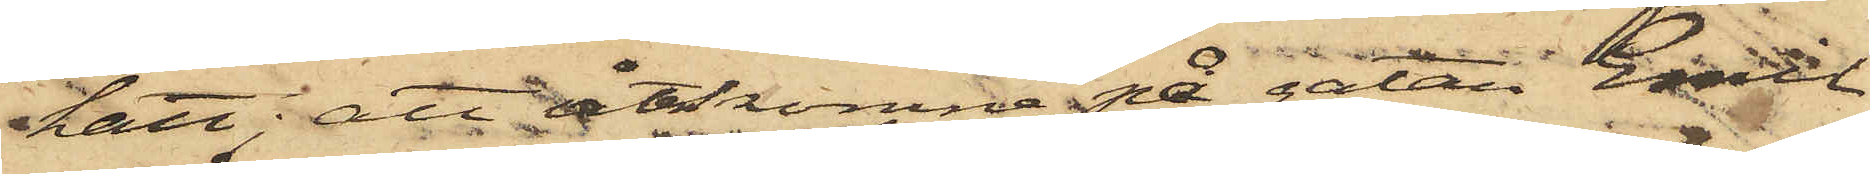hatt; att återkomna på gatan Emil
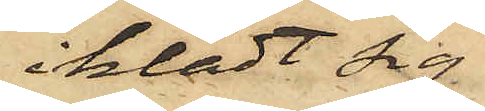iklädt sig
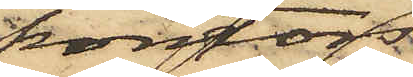kontors¬
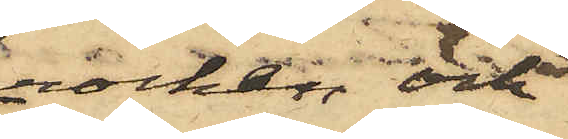rocken och
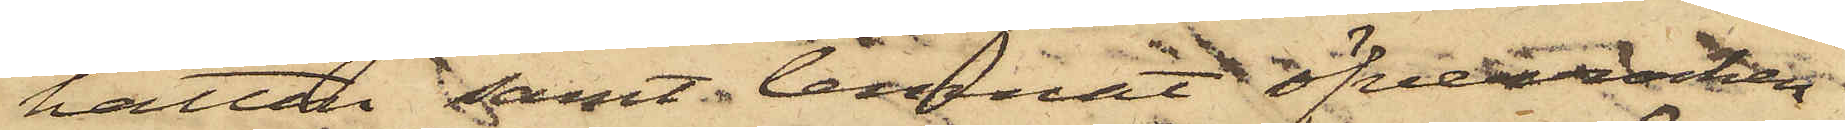hatten samt lemnat öfverrocken
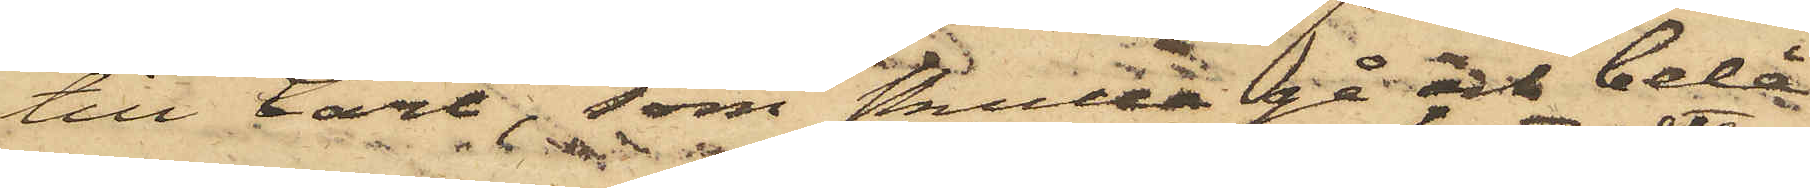till Carl, som skulle gå och belån¬
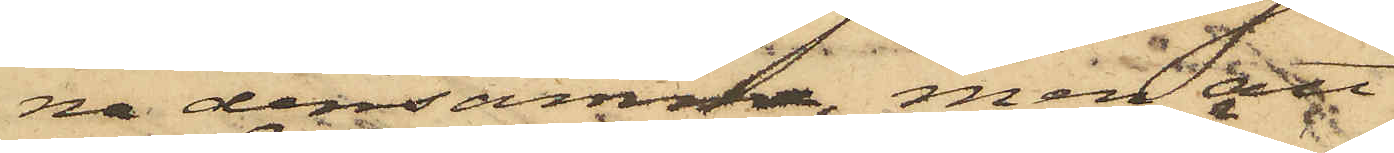na densamma, men att
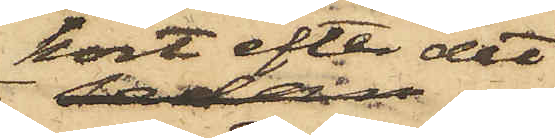kort efter det
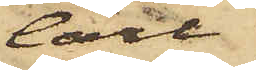Carl
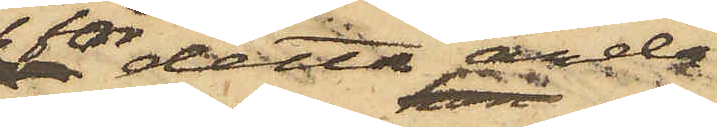för detta ända¬
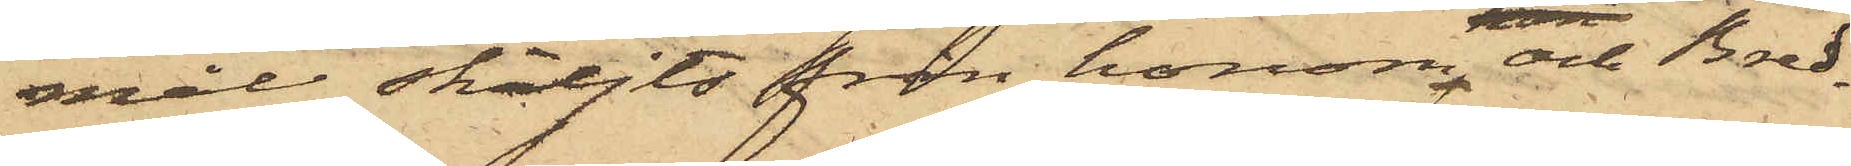mål skiljts från honom och Bred¬
